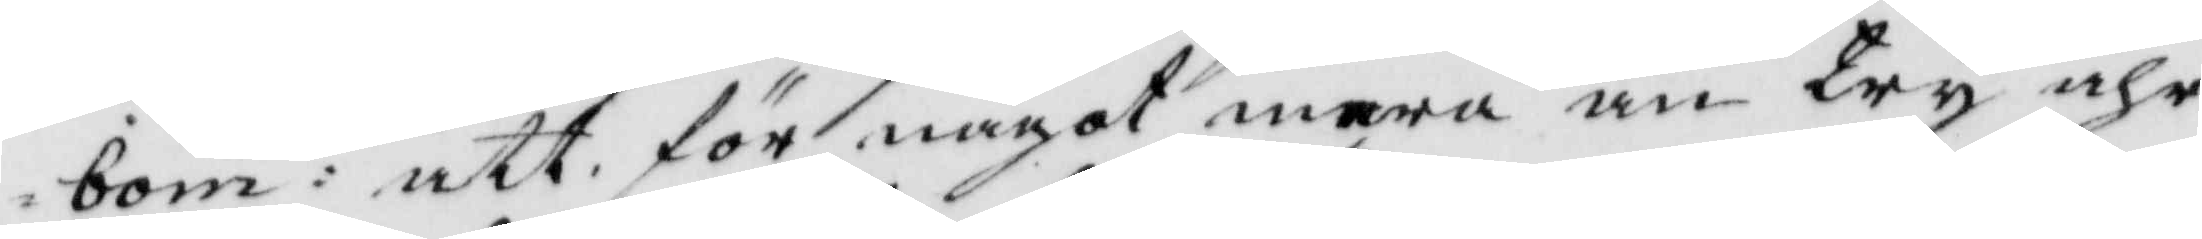bom: att, för något mera än try åhr
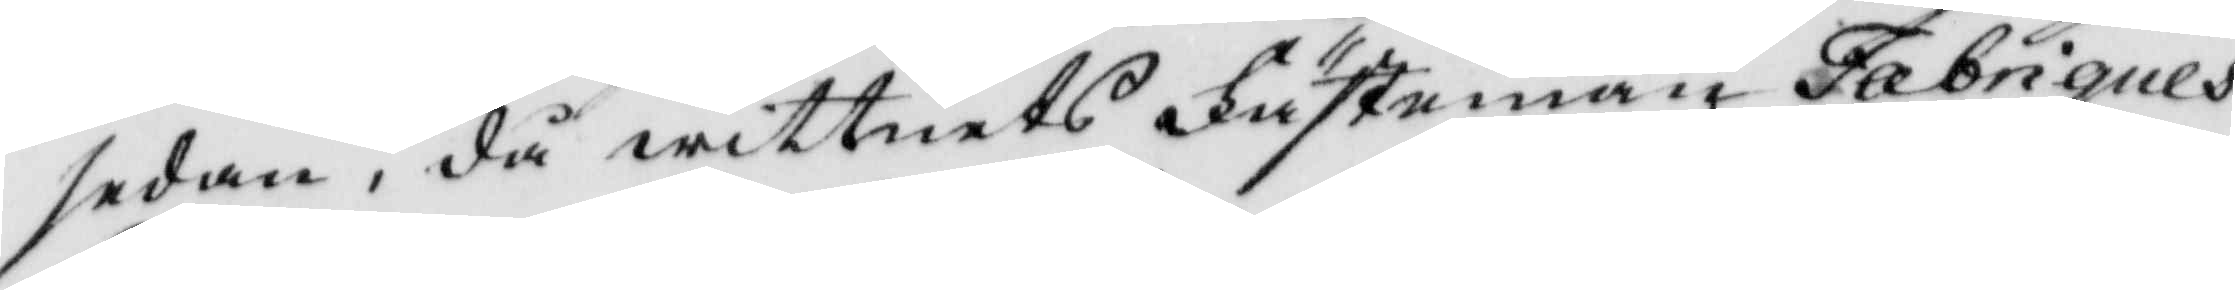sedan, då wittnets Fästeman Fabriques¬
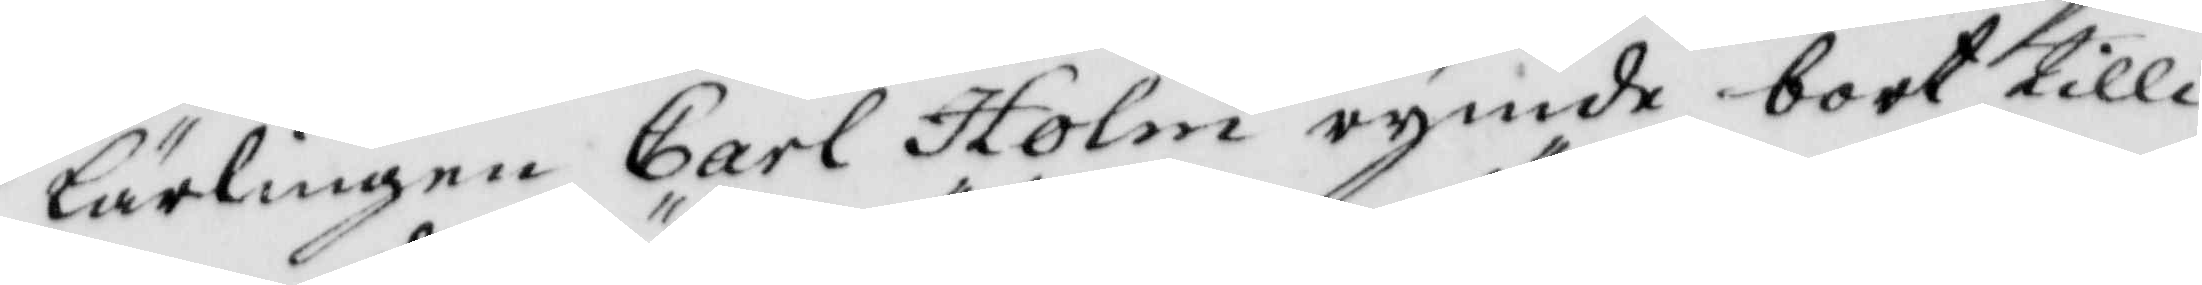lärlingen Carl Holm rymde bort tilli¬
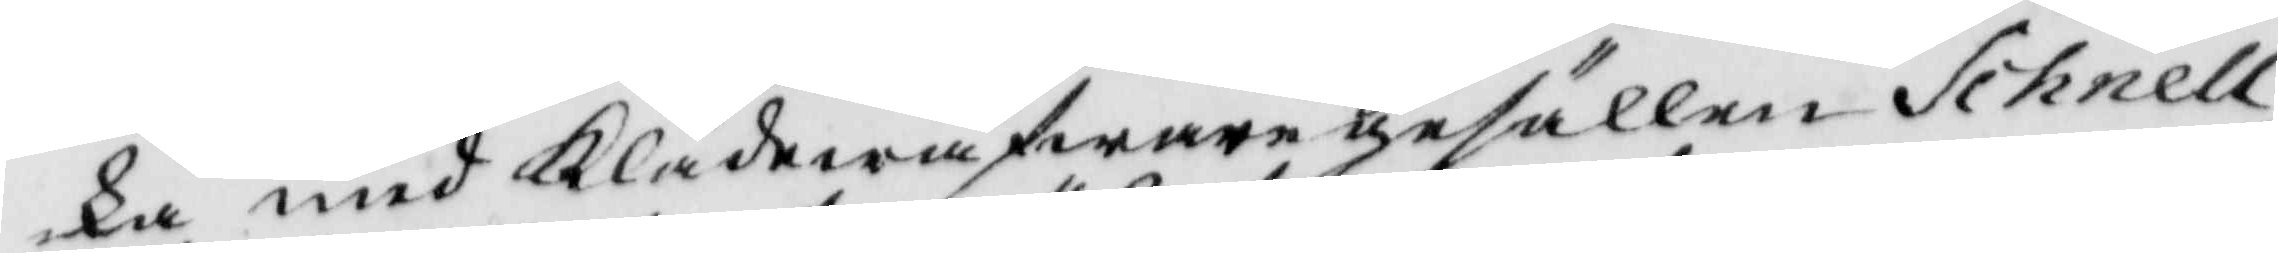ka med Klädewäfwaregesällen Schnell
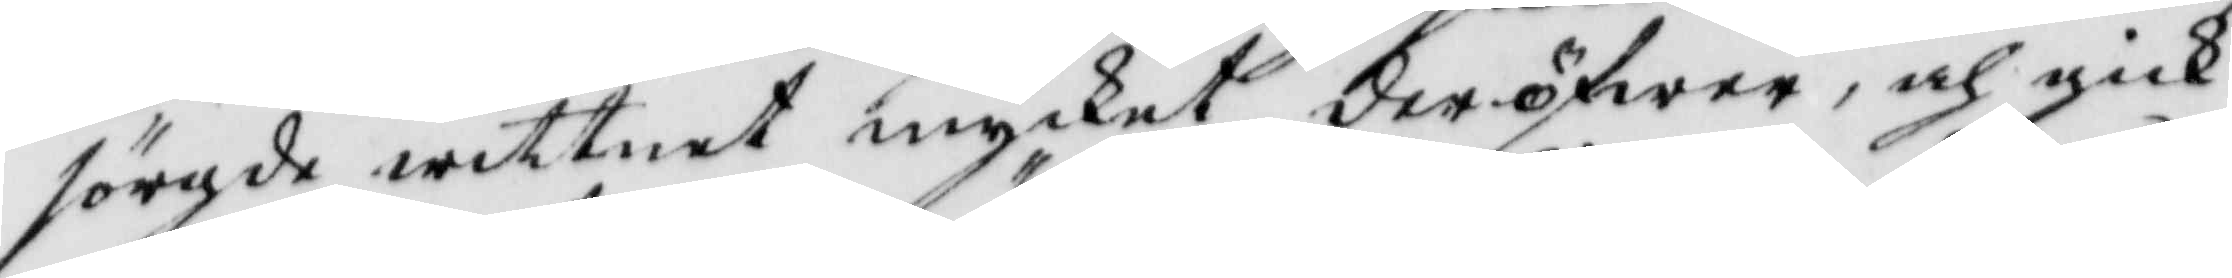sörgde wittnet mycket deröfwer, och gick
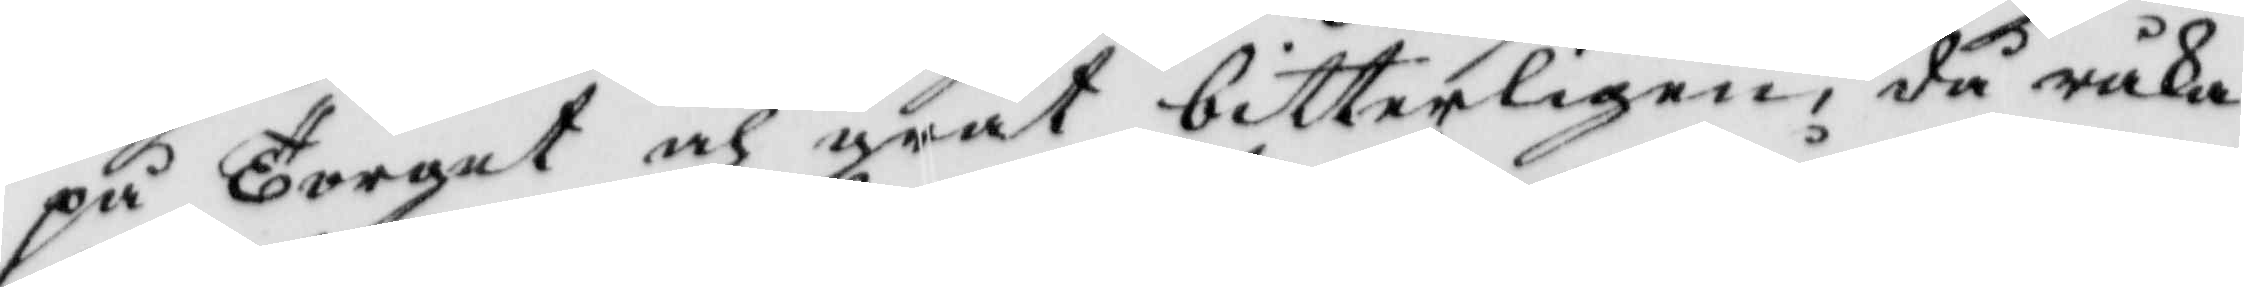på Torget och grät bitterligen, då råka¬
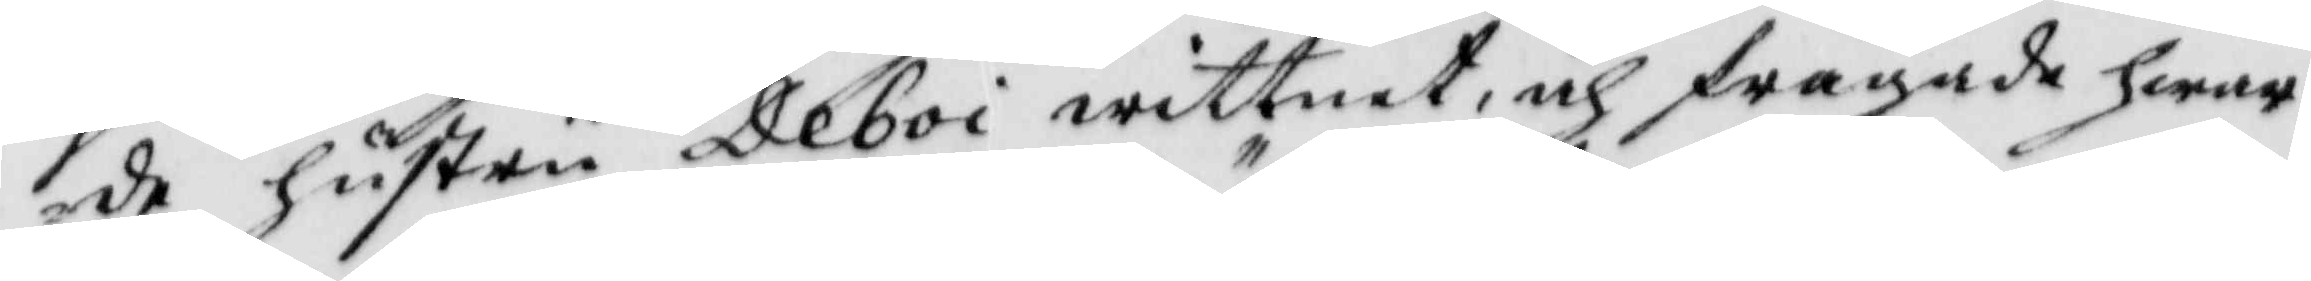de hustru Deboi wittnet, och frågade hwar¬
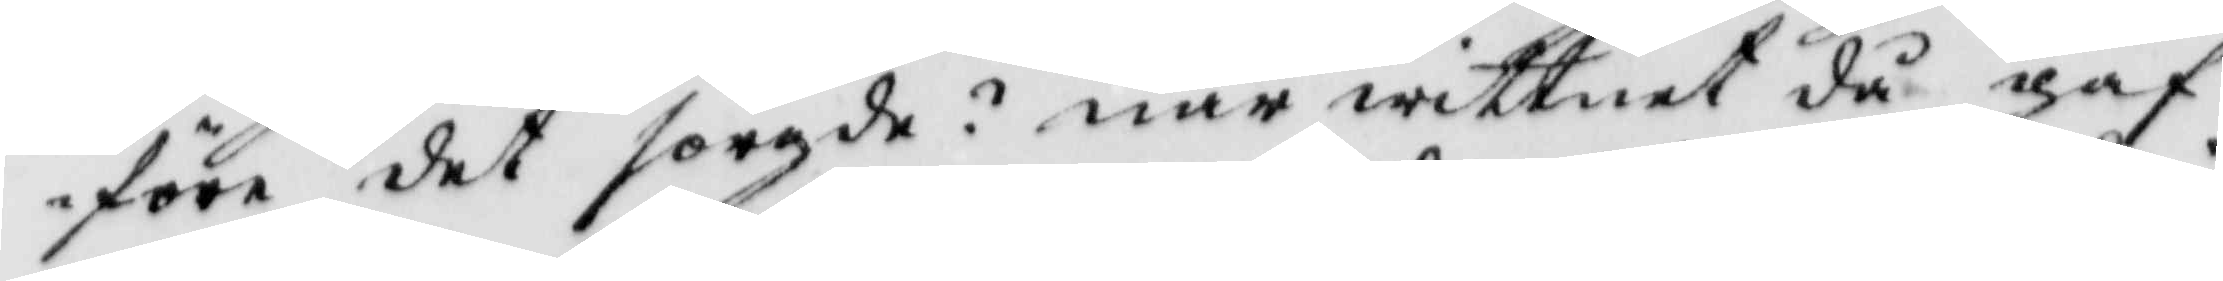före det sorgde? när wittnet då gaf
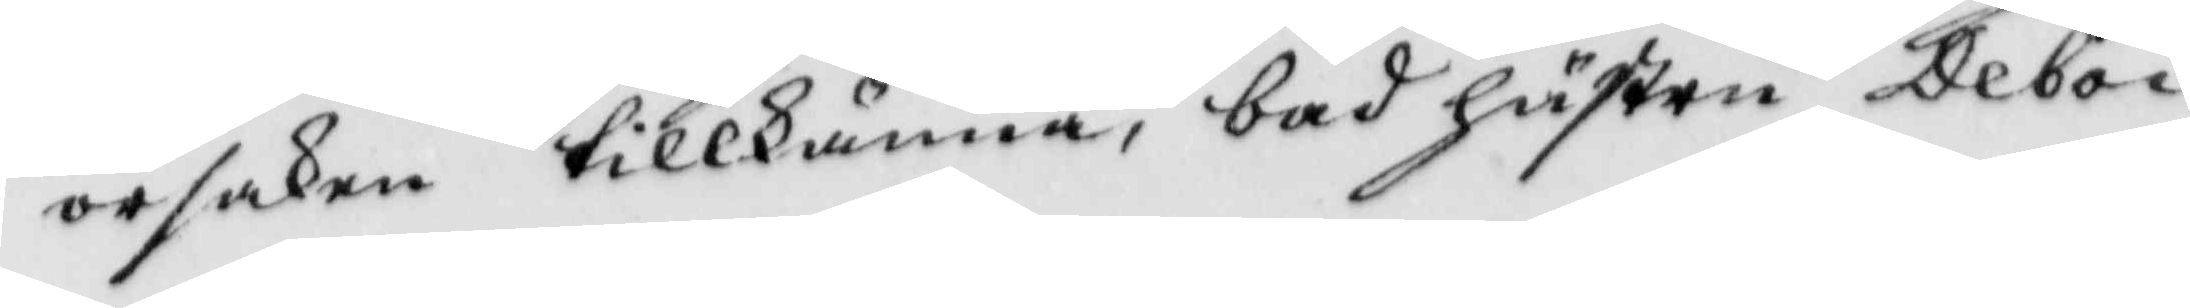orsaken tillkänna, bad hustru Deboi
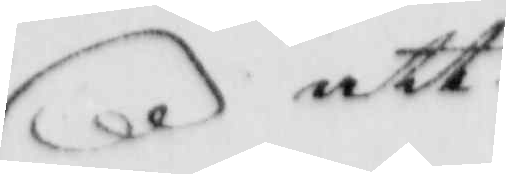att
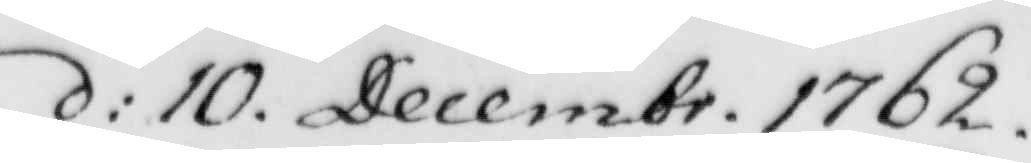d: 10. Decembr. 1762.
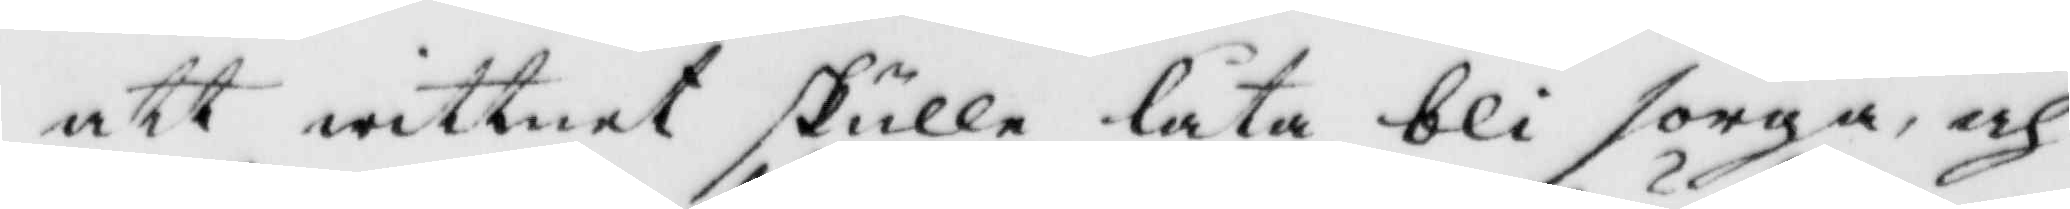att wittnet skulle låta bli sorga, och
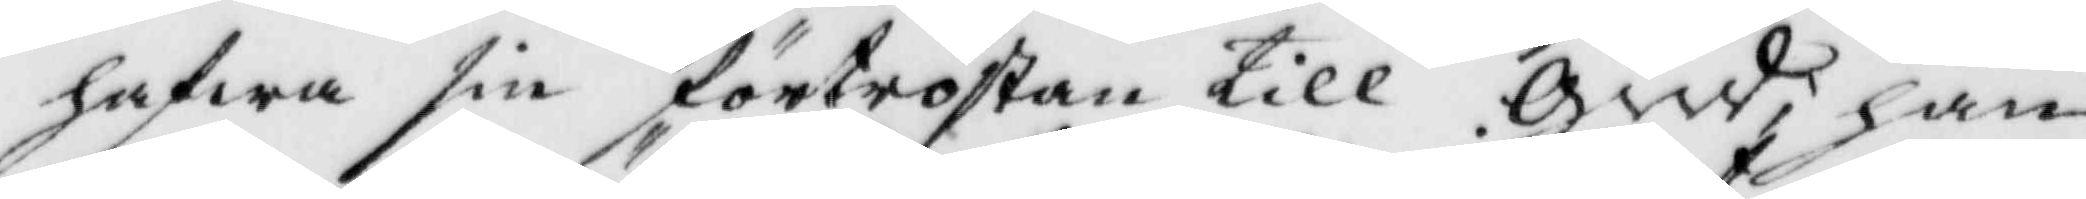hafwa sin förtröstan till Gud, han
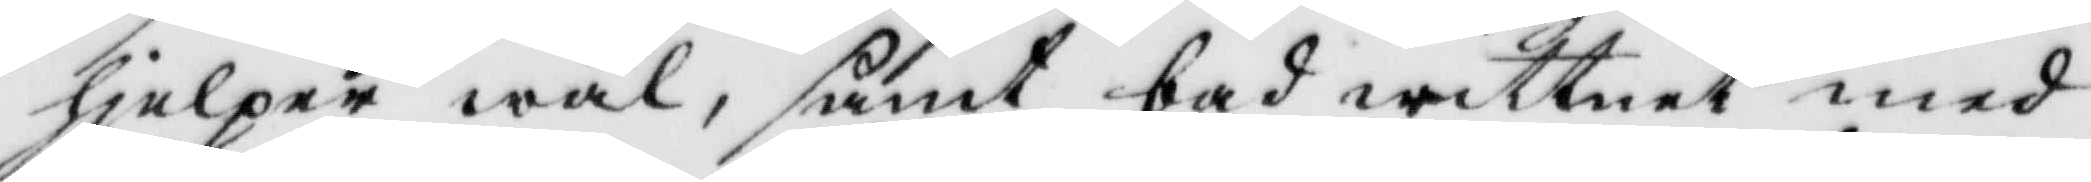hjelper wäl, samt bad wittnet med
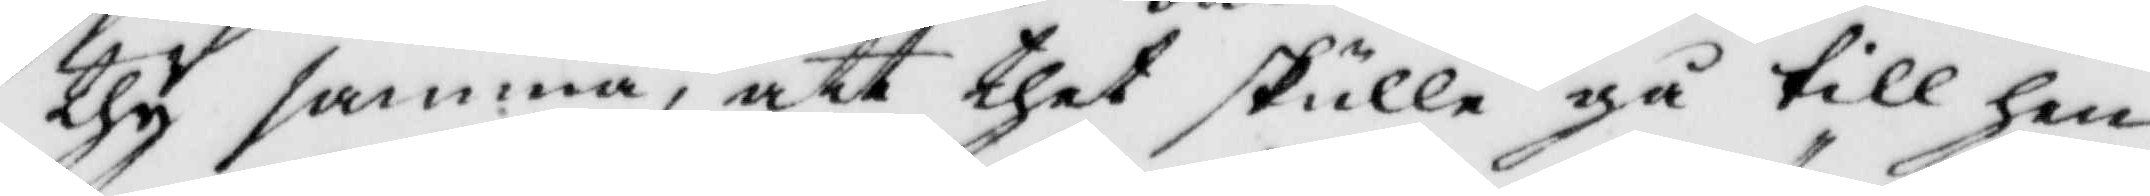thy samma, att thet skulle gå till hen¬
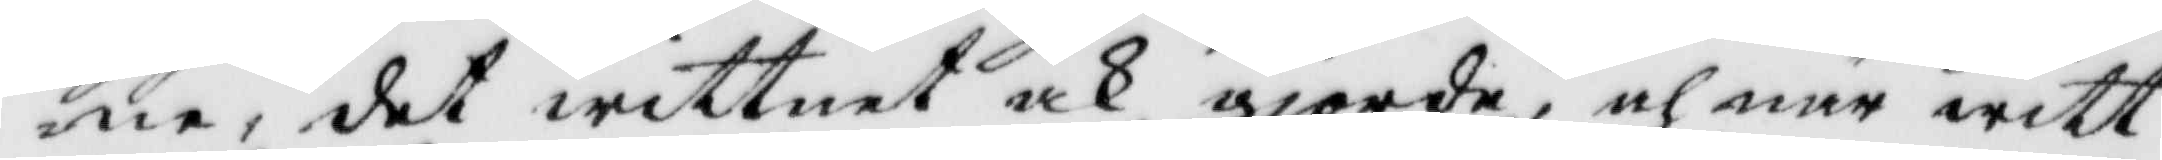ne, det wittnet och gjorde, och när witt¬
